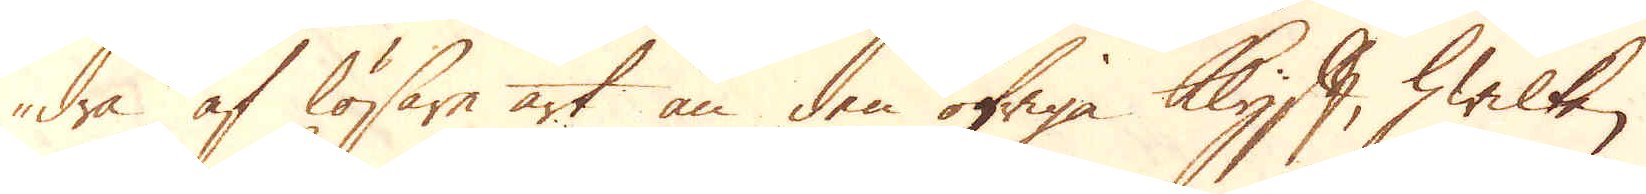dra af lösare art än den öfriga Klyft, hwilken
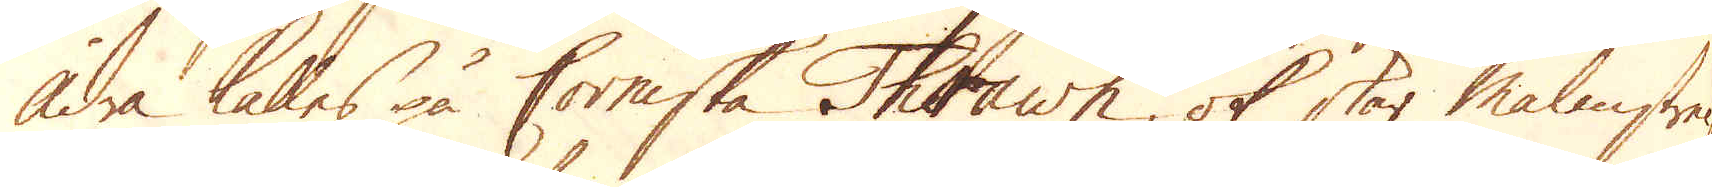ådra kalles på Corniska Thrawn, ok stör Malmstre-
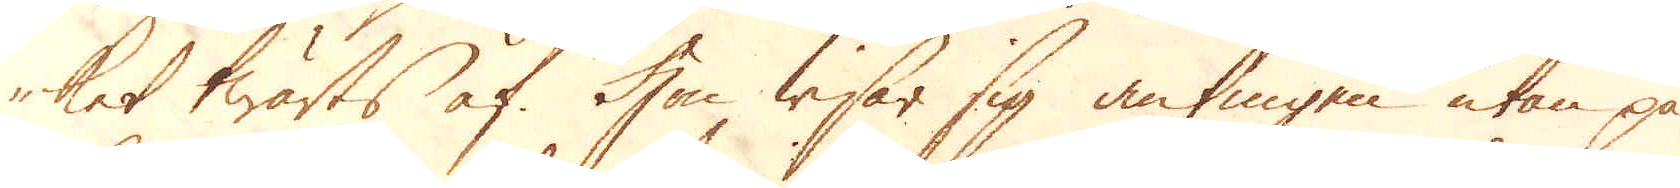ket twärts af. Hon wisar sig antingen utan på
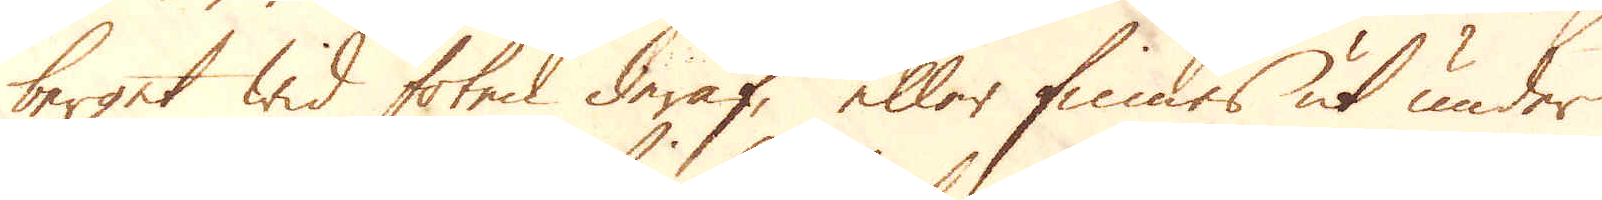berget wid foten deraf, eller finnes ut under
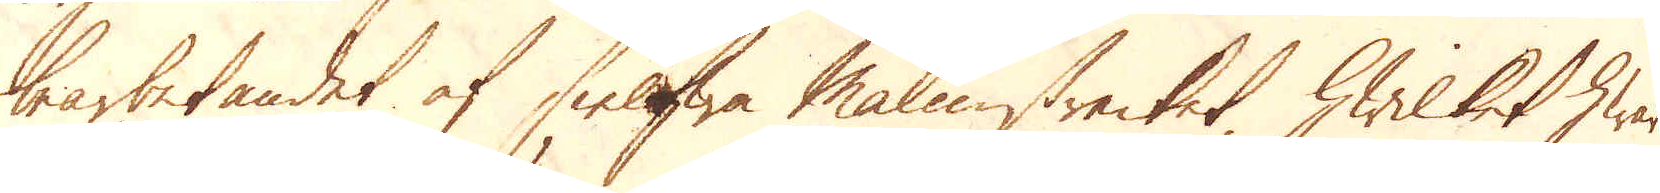bearbetandet af sielfwa Malmstrecket, hwilket hwar
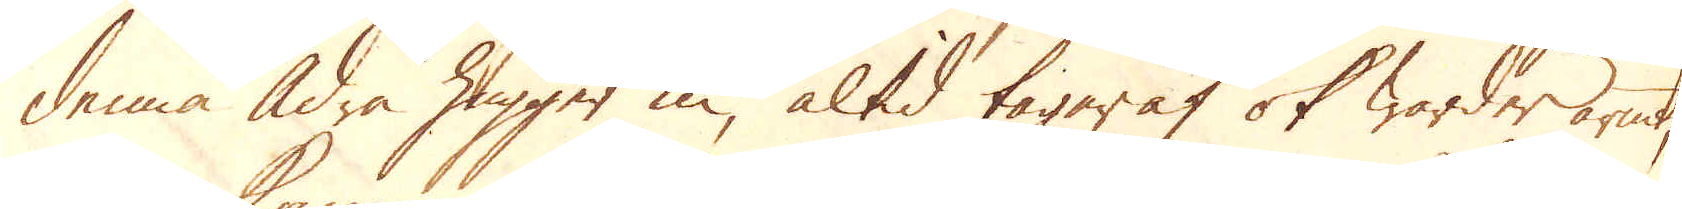denna Ådra hugger in, altid tager af ok warder armt,
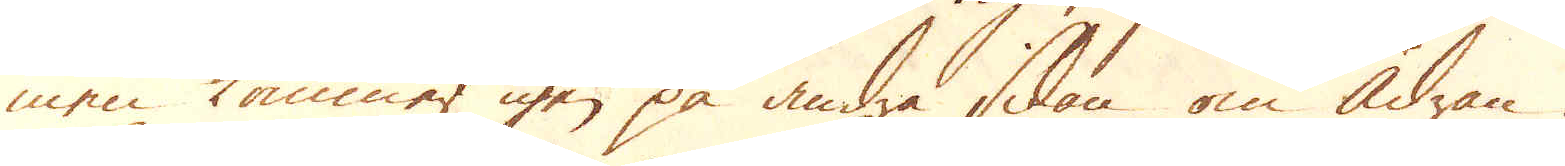men kommer igen på andra sidan om ådran.
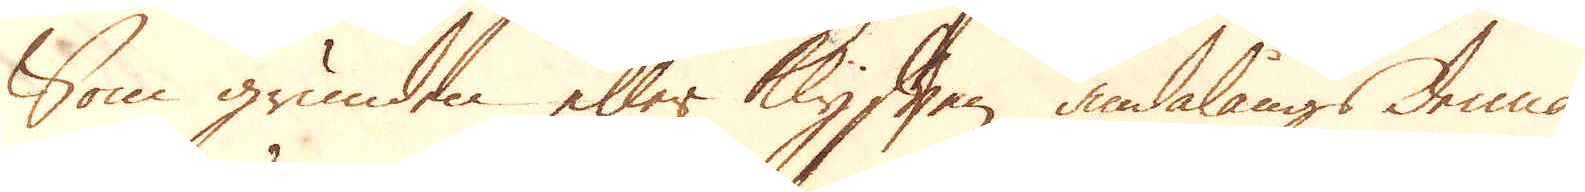Som grunden eller Klyften ändalångs denna
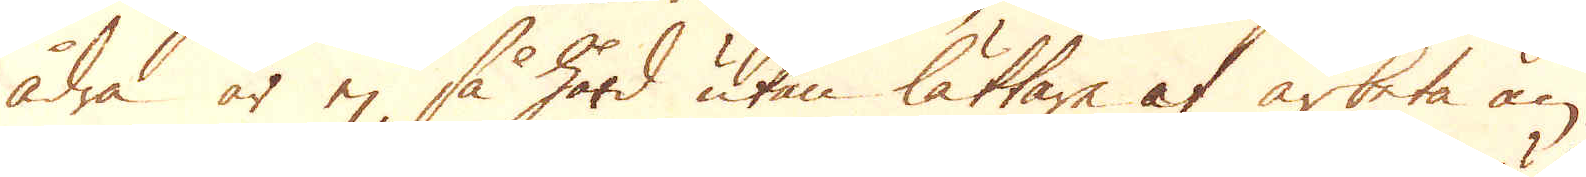ådra är ej så hård utan lättare at arbeta än
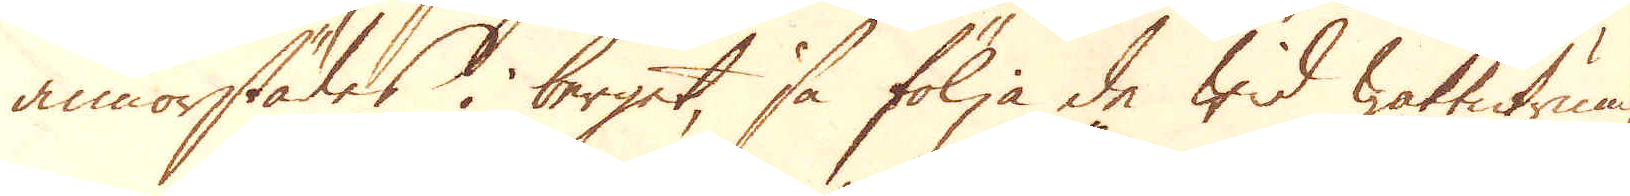annorstädes i berget, så följa de wid wattutrum-
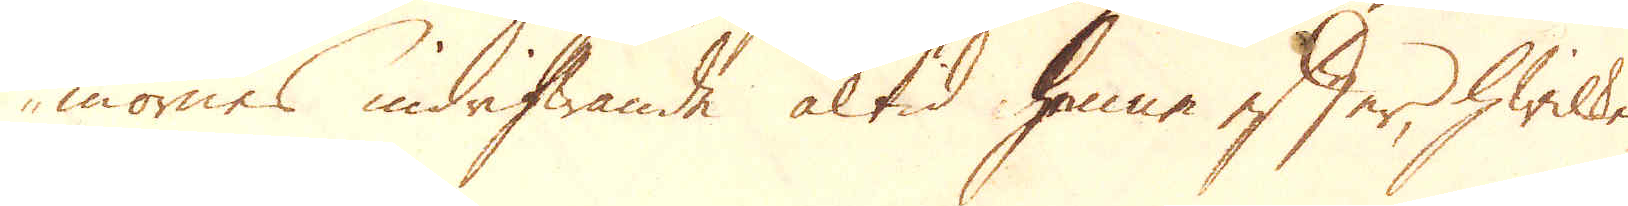mornes indrifwande altid henne efter, hwilken
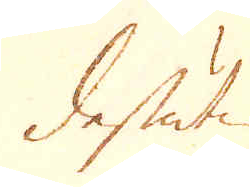dessutan
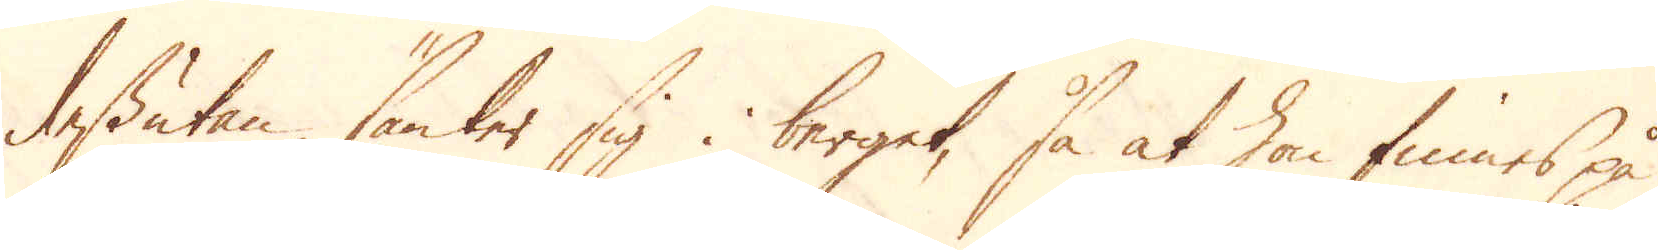Dessutan sänker sig i berget, så at hon finnes på
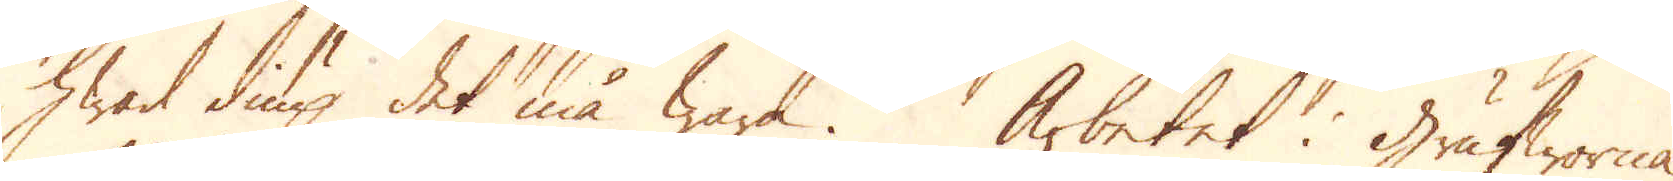hwad diup det må wara. Arbetet i grufworna
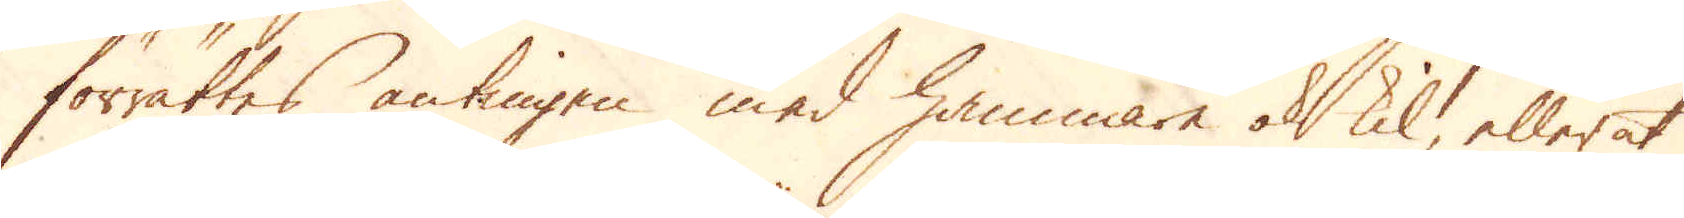förrättes antingen med hammare ok kil, eller at
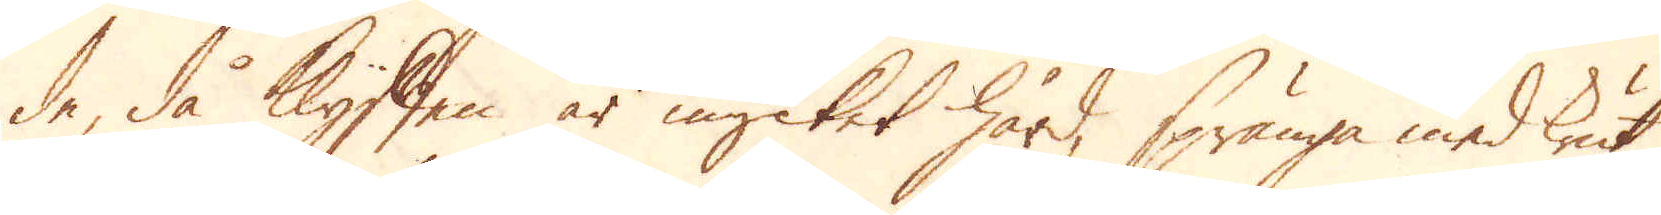de då Klyften är mycket hård, spränga med Krut
